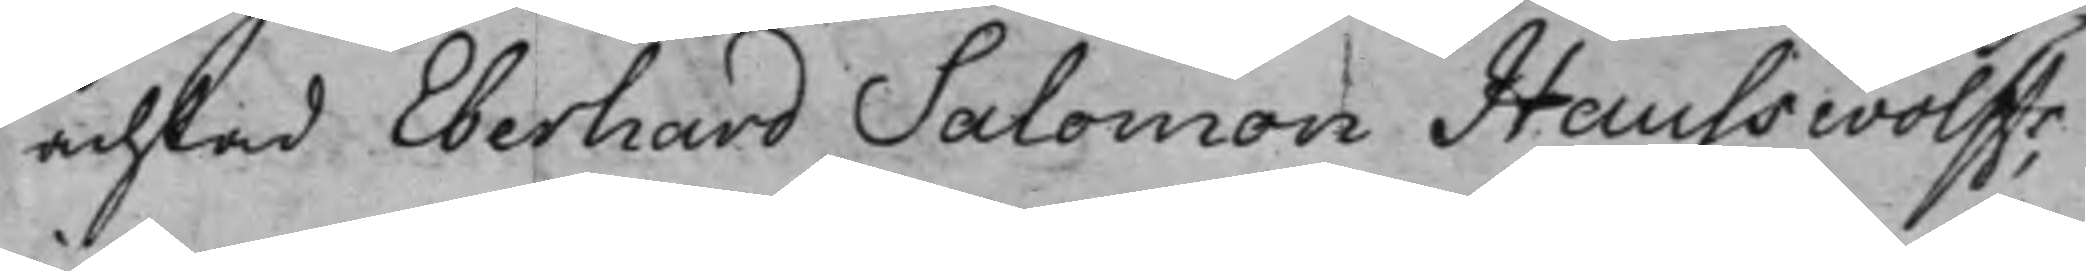achtad Eberhard Salomon Hauswolffs,
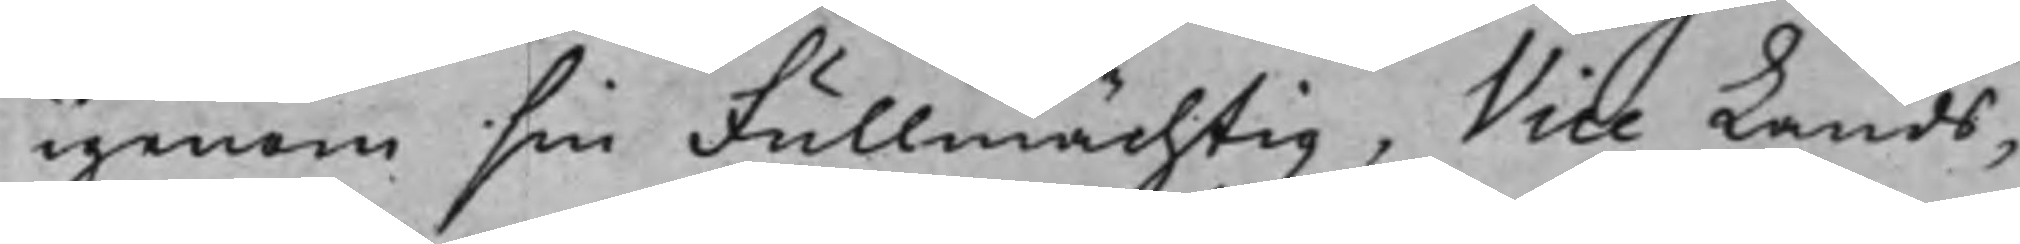igenom sin Fullmächtig, Vice Lands¬
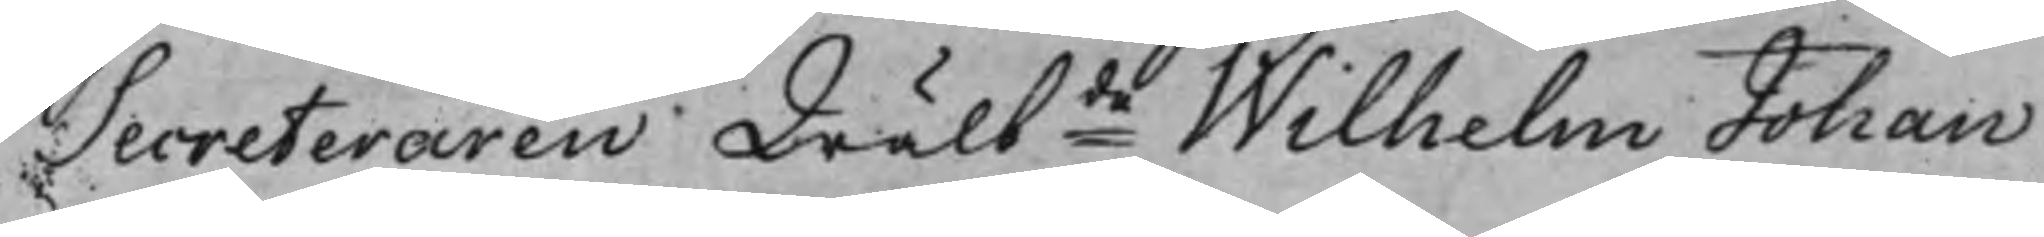Secreteraren Wälbde Wilhelm Johan
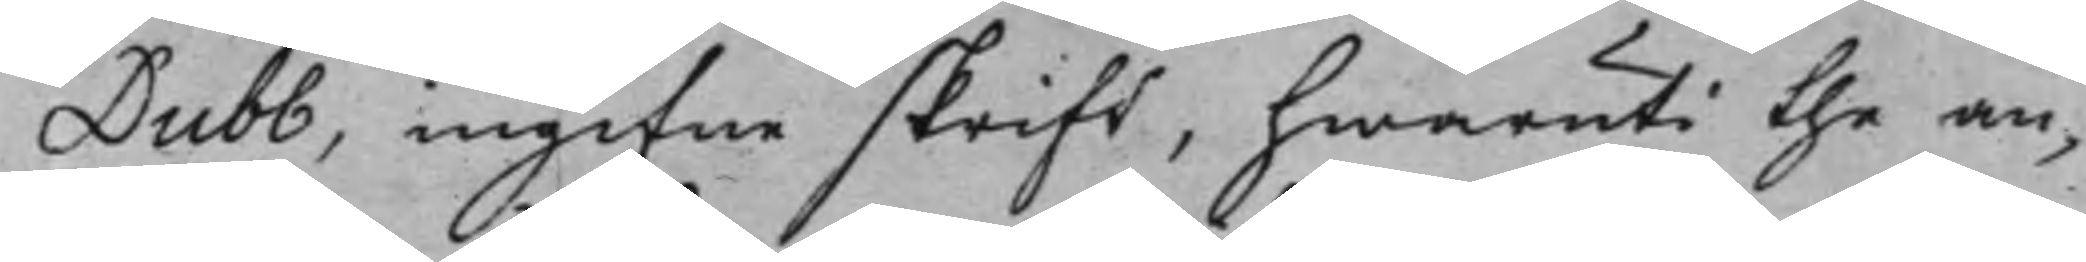Dubb, ingifne skrift, hwaruti the an¬
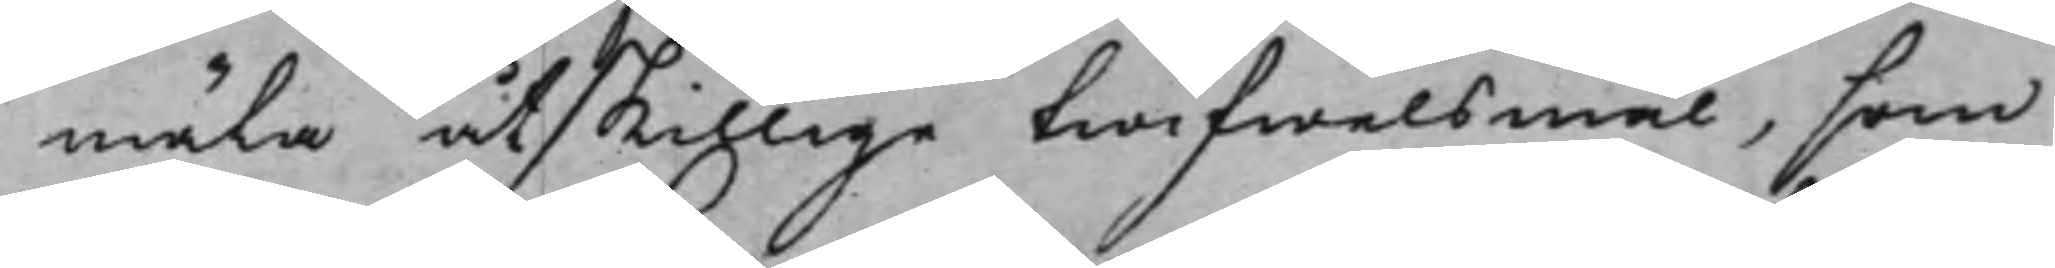mäla åtskillige twifwelsmål, som
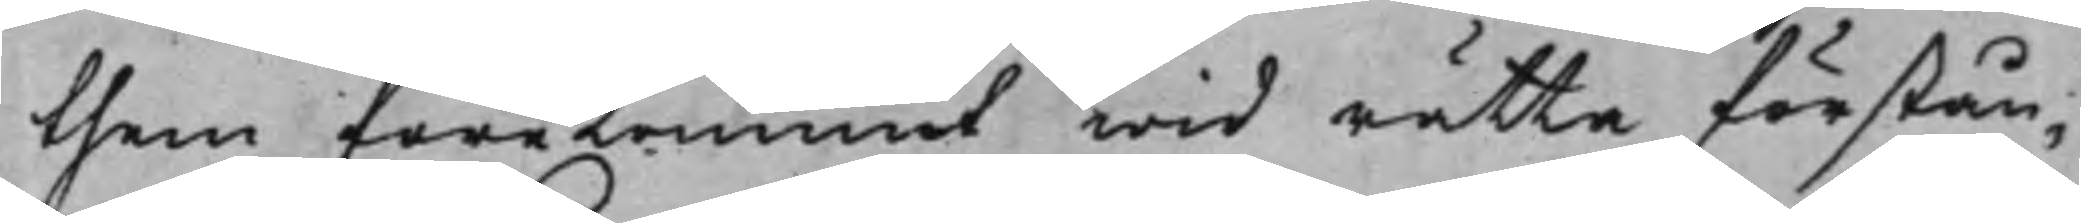them förekommit wid rätta förstån¬
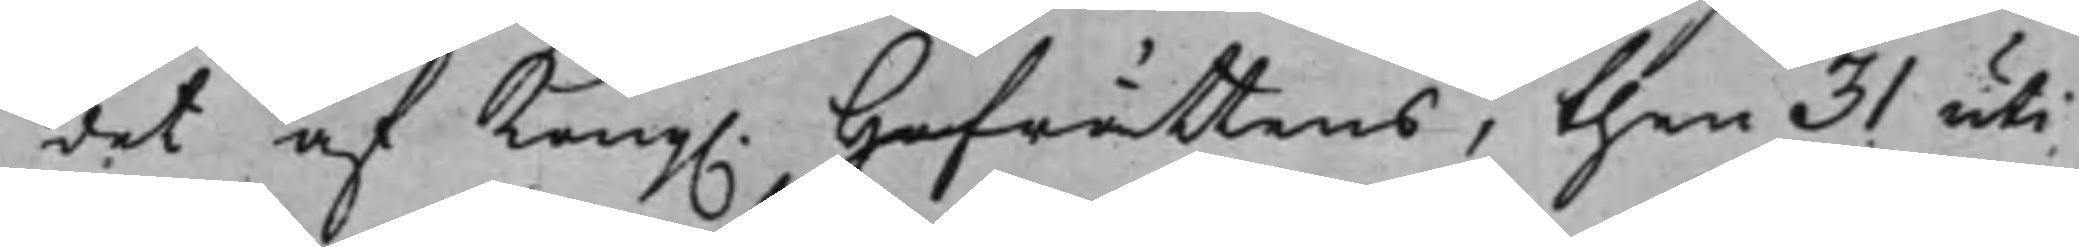det af Kong. Hofrättens, then 31 uti
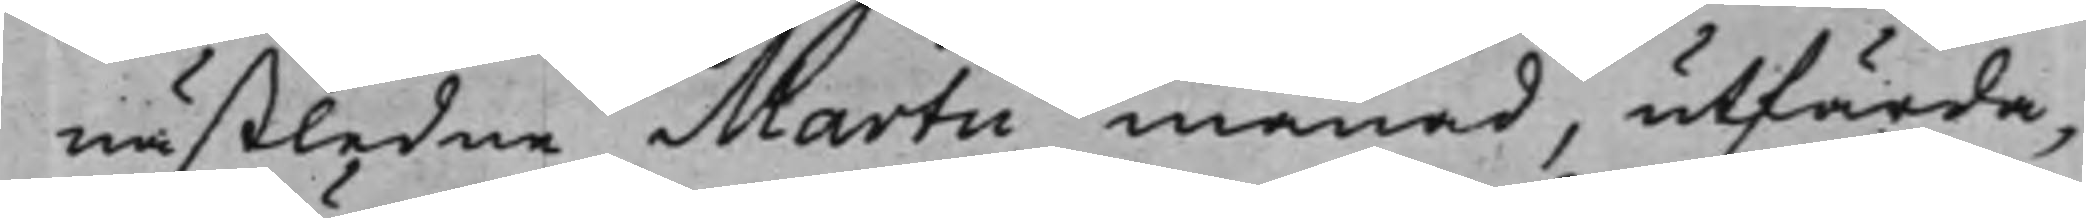nästledne Martii månad, utfärda¬
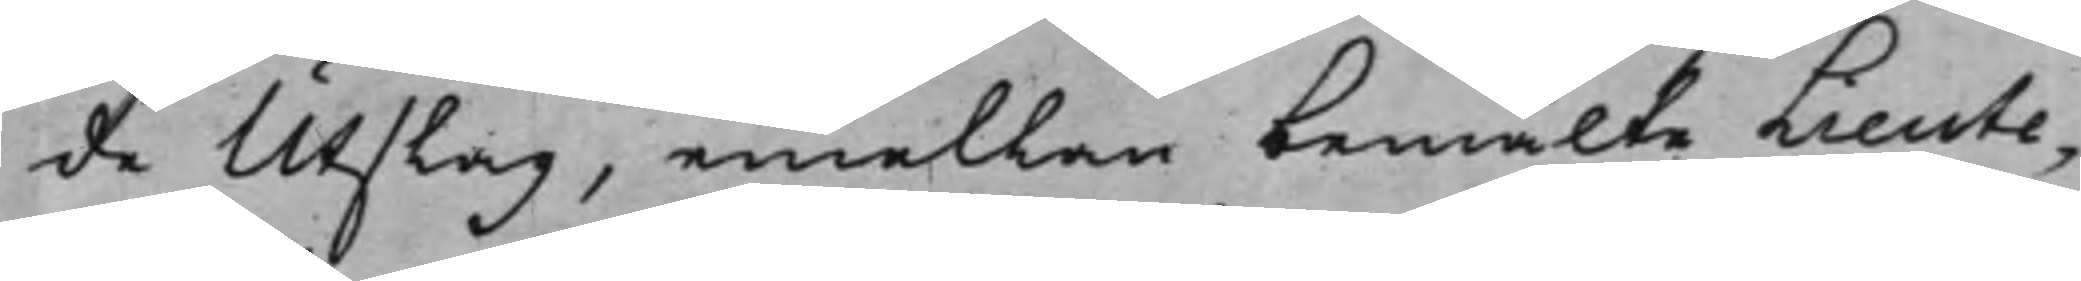de Utslag, emellan bemälte Lieute¬
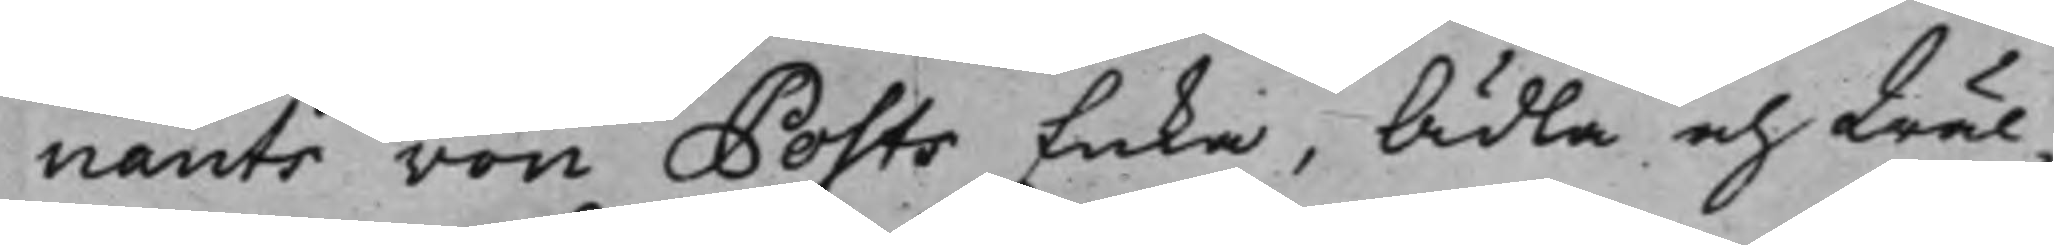nants von Posts Enka, Ädla och Wäl¬
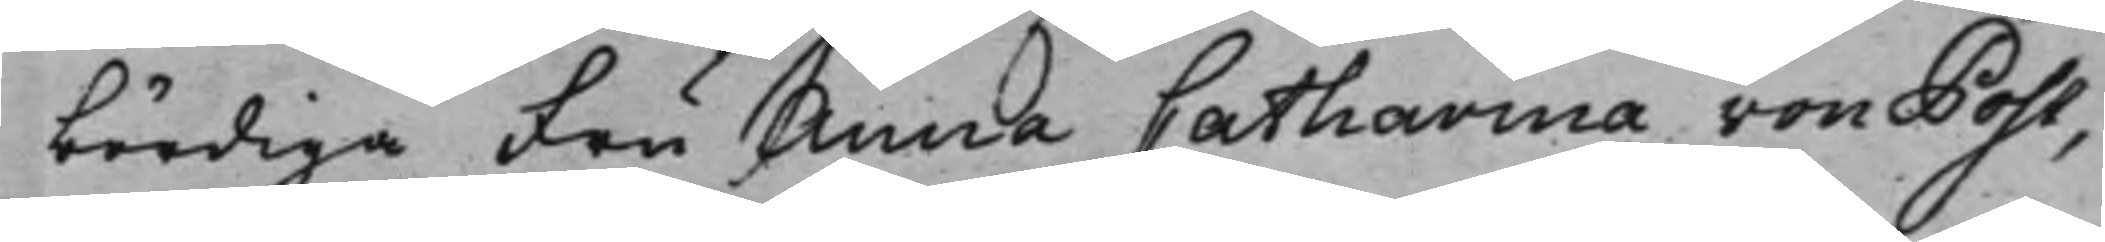bördiga Fru Anna Catharina von Post,
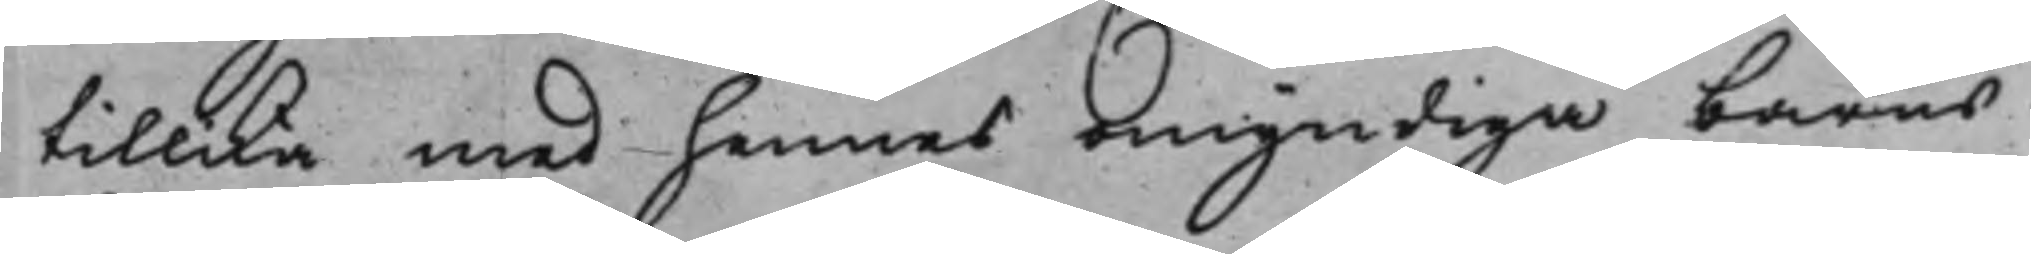tillika med hennes omyndiga barns
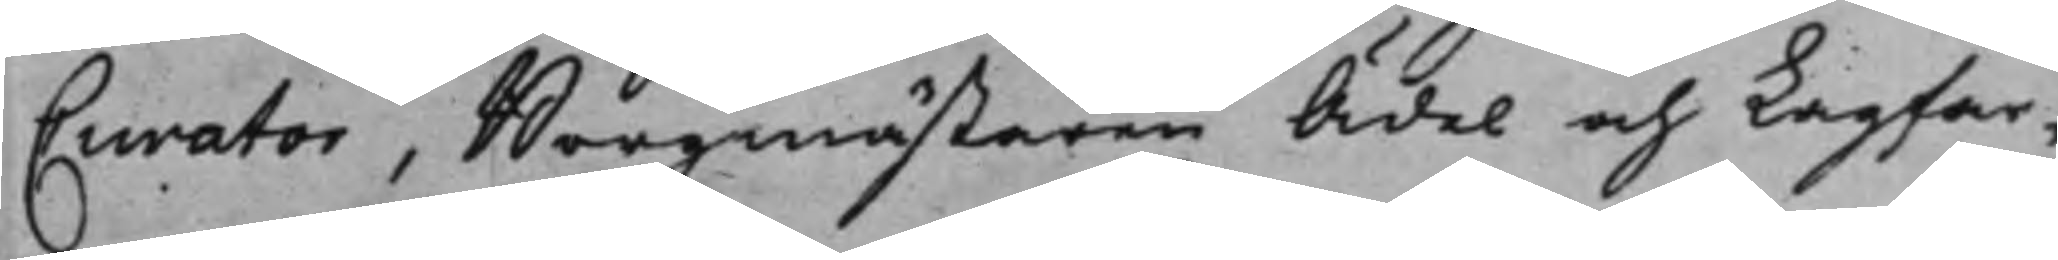Curator, Borgmästaren Ädel och Lagfar¬
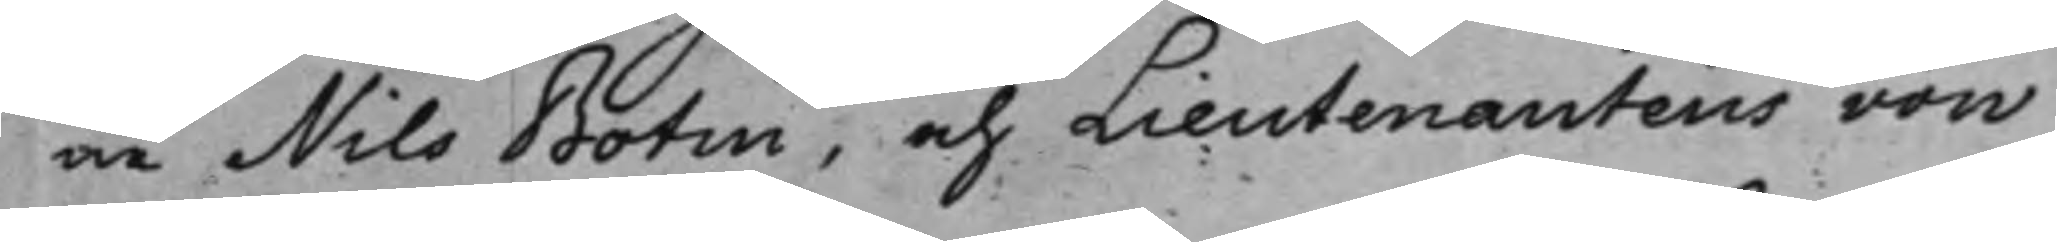ne Nils Botin, och Lieutenantens von
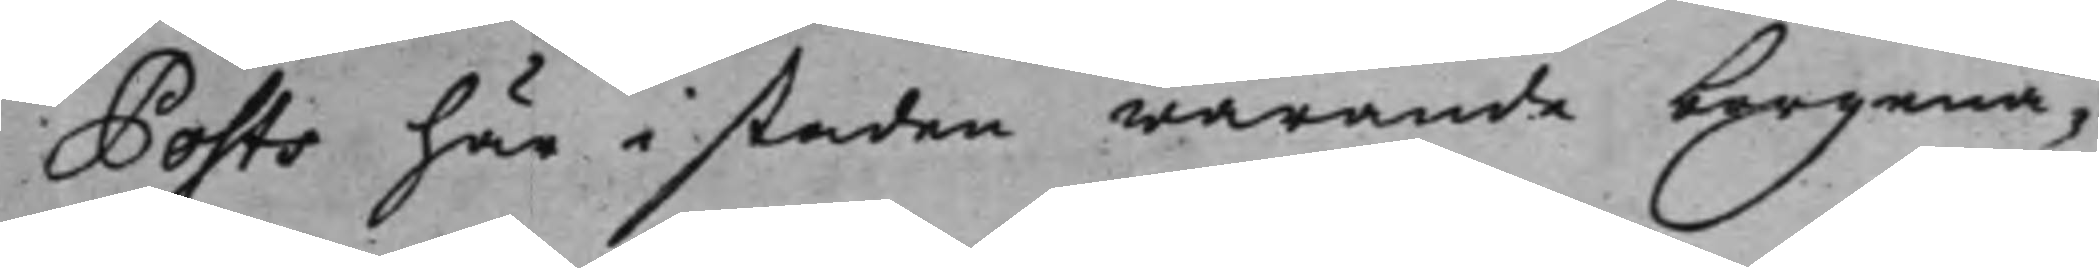Posts här i staden warande borgenä¬
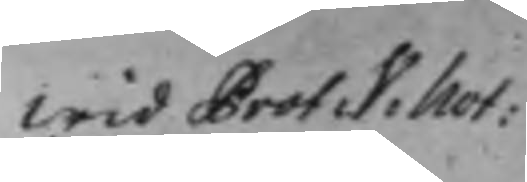Wid Prot: V: Not:
